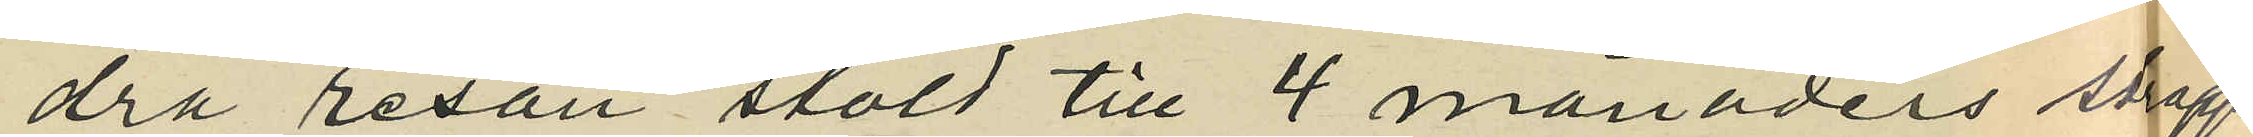dra resan stöld till 4 månaders straff¬
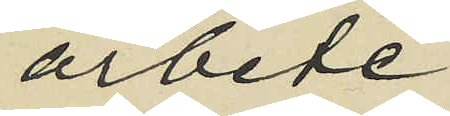arbete;
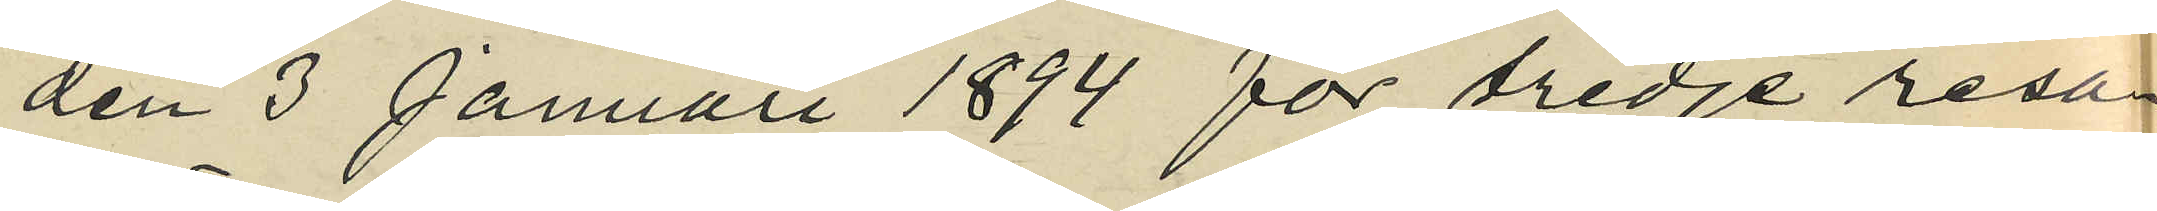den 3 Januari 1894 för tredje resan
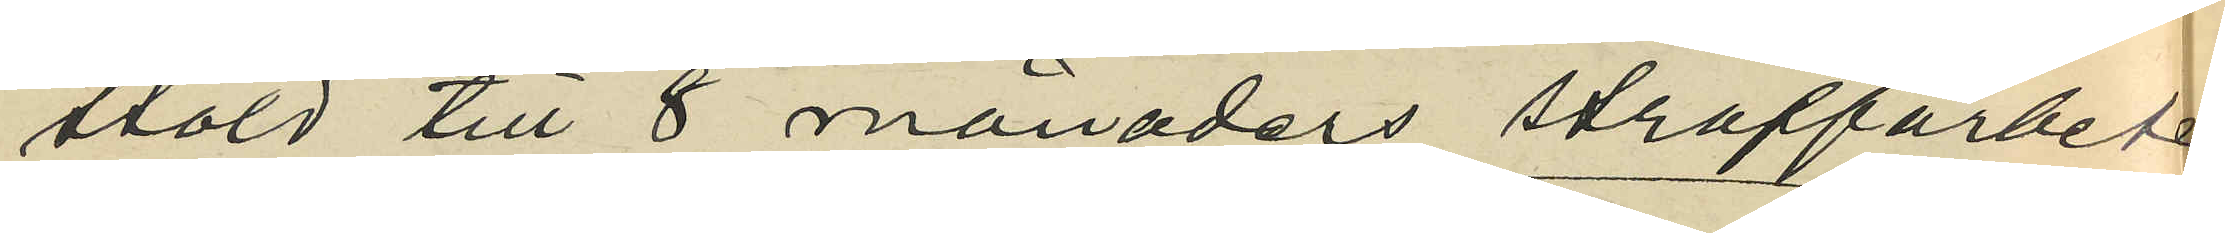stöld till 8 månaders straffarbete
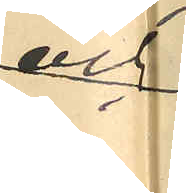och
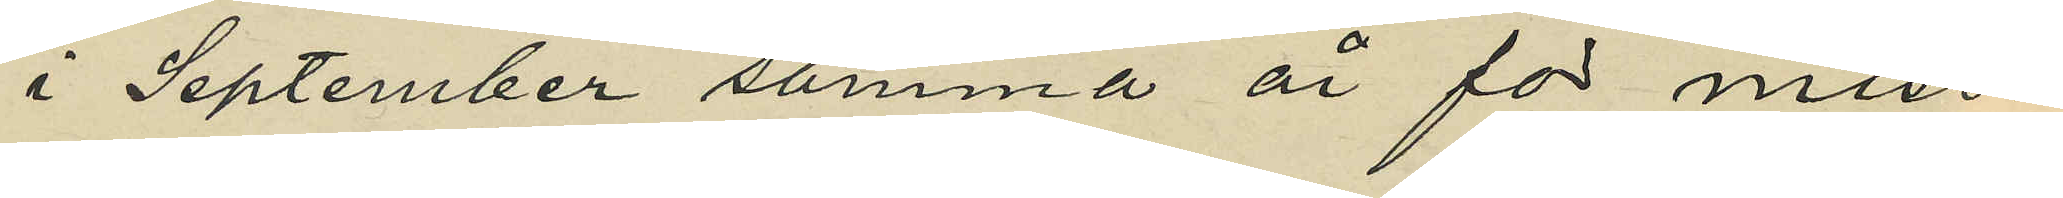i September samma år för miss¬
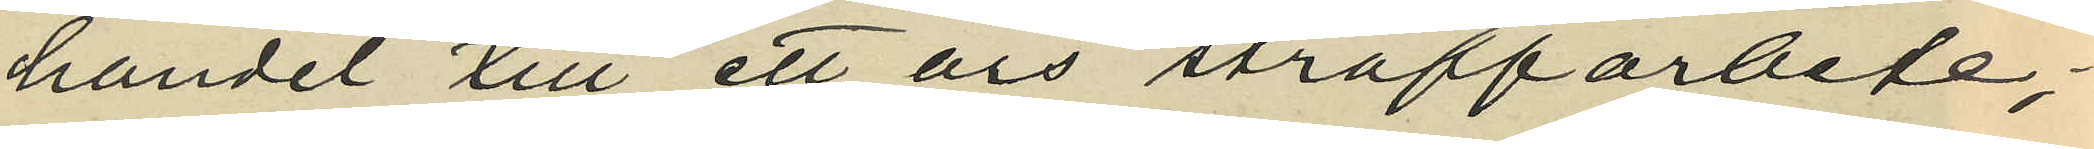handel till ett års straffarbete;
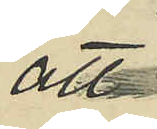att
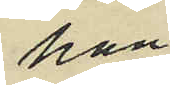han
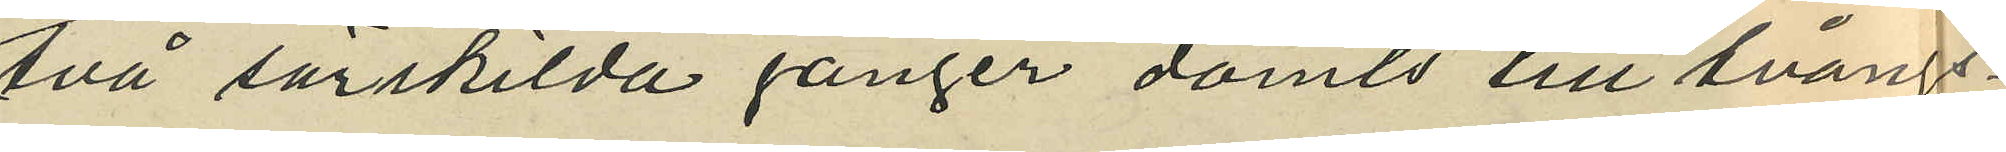två särskilda gånger dömts till tvångs¬
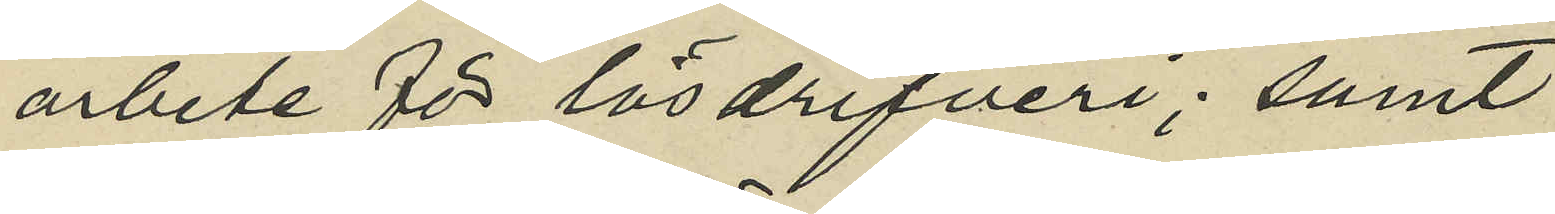arbete för lösdrifveri; samt
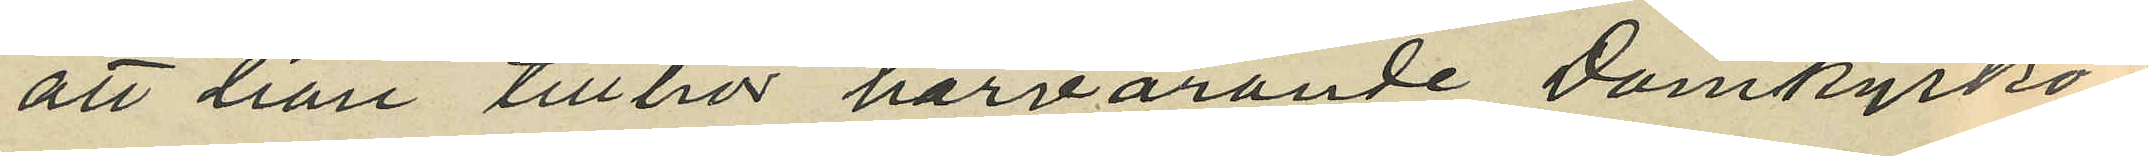att han tillhör härvarande Domkyrko¬
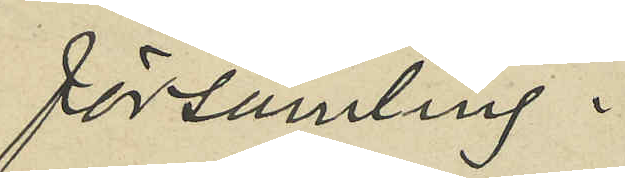församling.
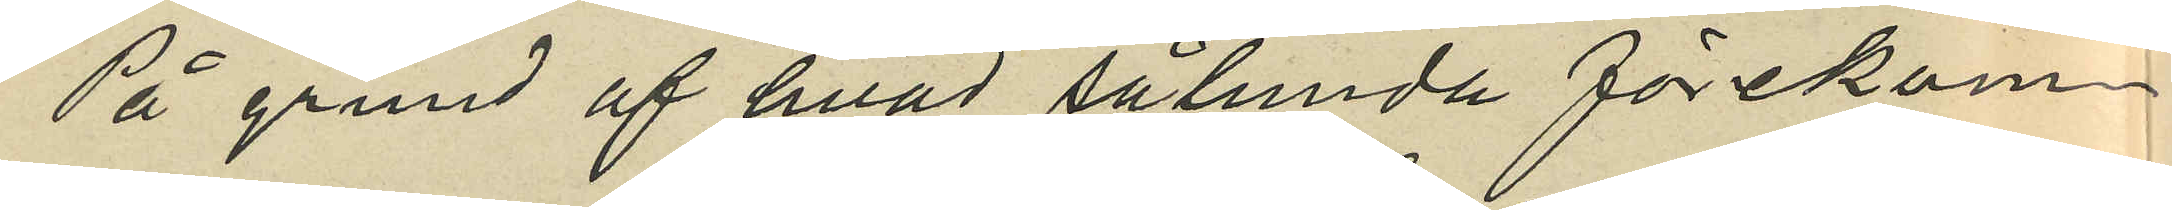På grund af hvad sålunda förekom¬
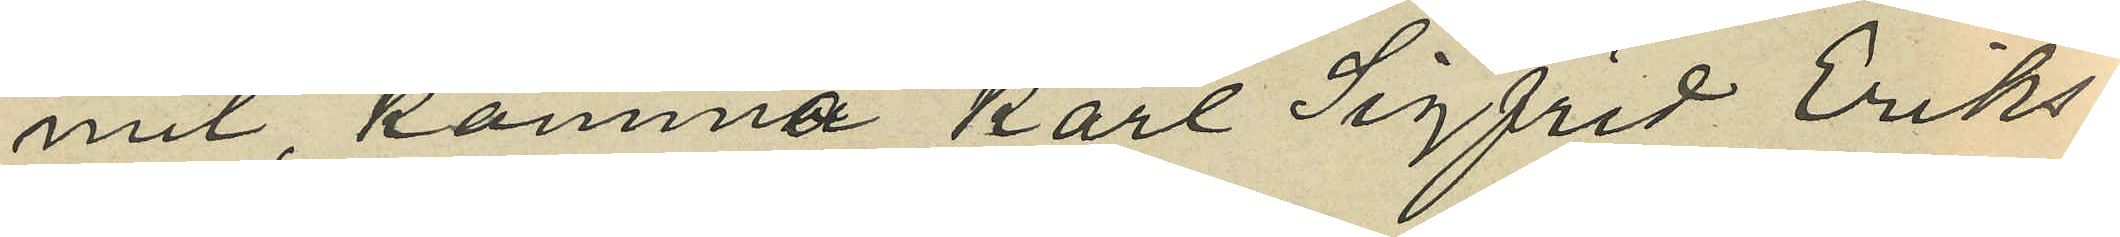mit, komma Karl Sigfrid Eriks¬
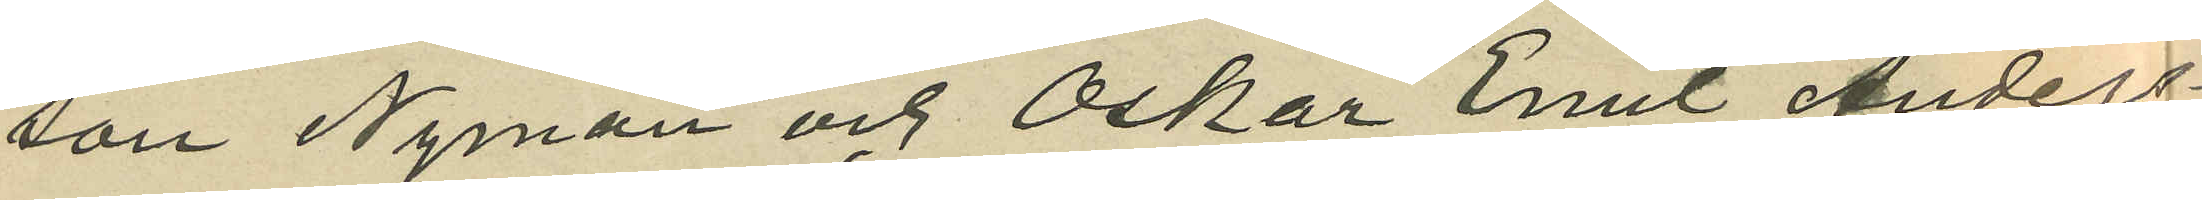son Nyman och Oskar Emil Anders¬
